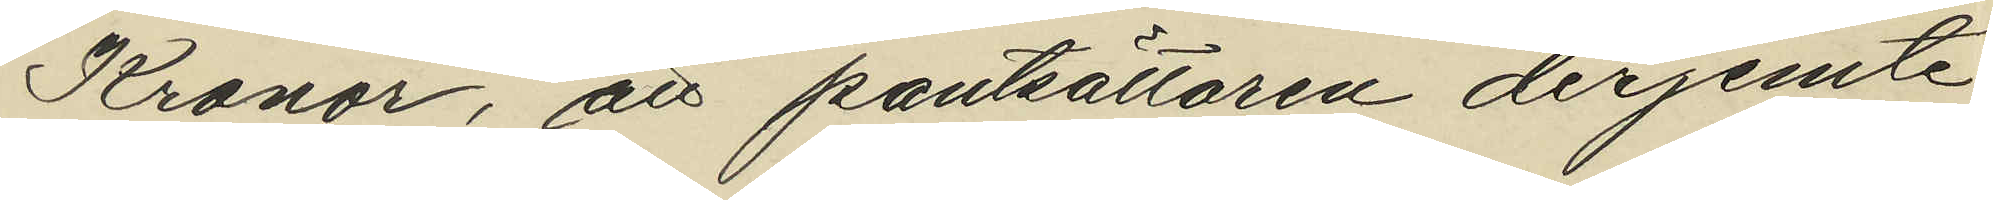Kronor, att pantsättaren derjemte
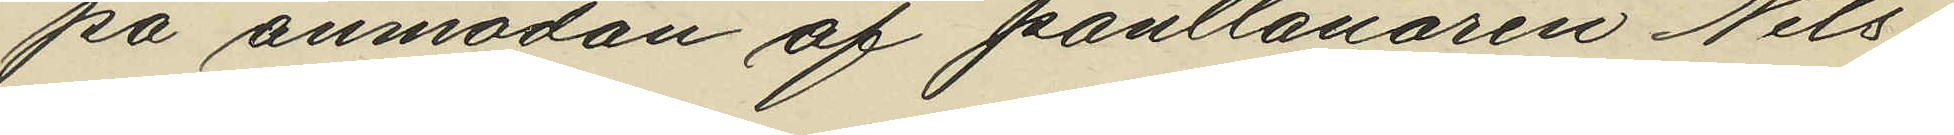på anmodan af pantlånaren Nils¬
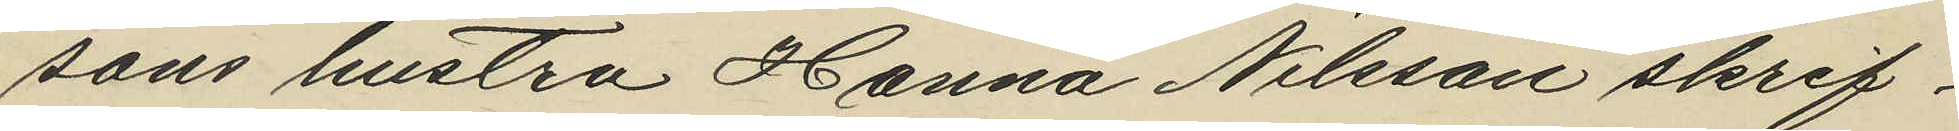sons hustru Hanna Nilsson skrif¬
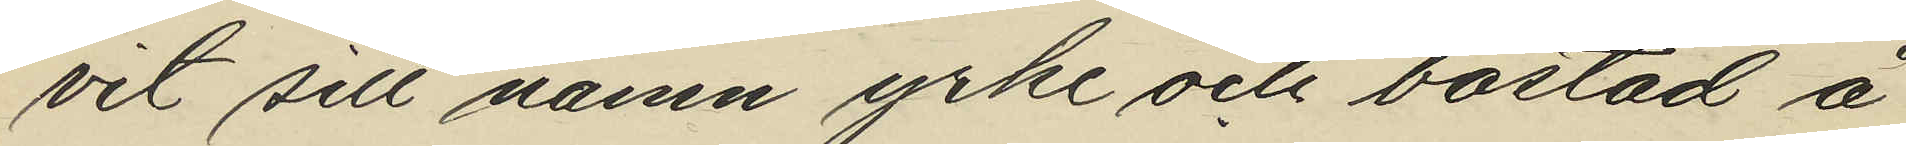vit sitt namn yrke och bostad å
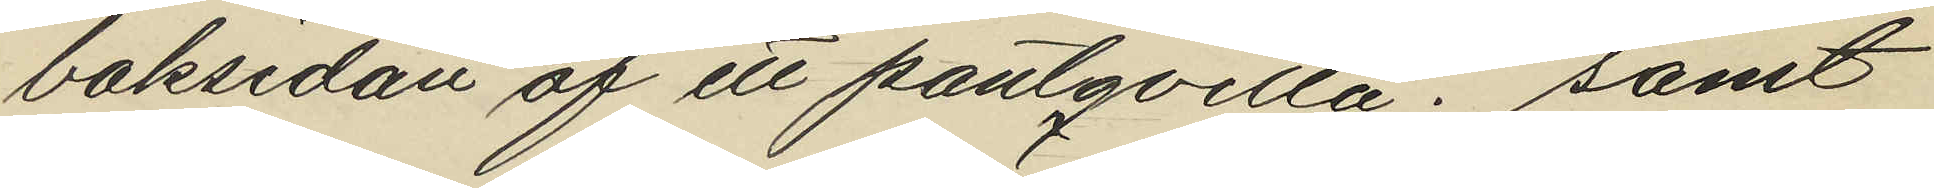baksidan af ett pantqvitto; samt
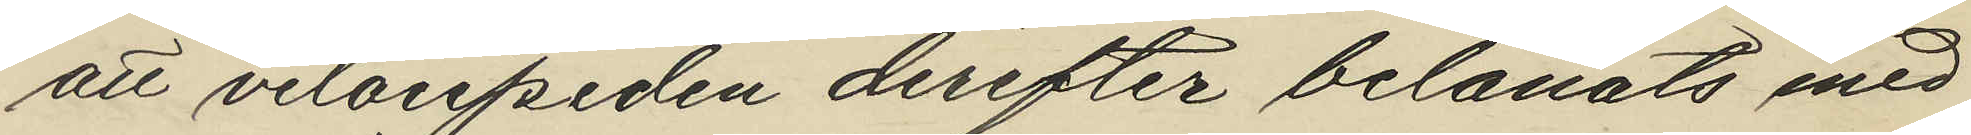att velocipeden derefter belånats med
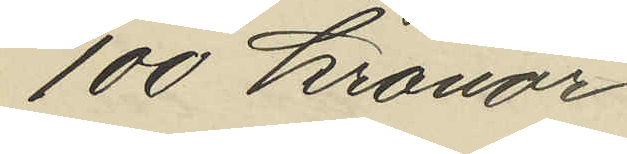100 kronor
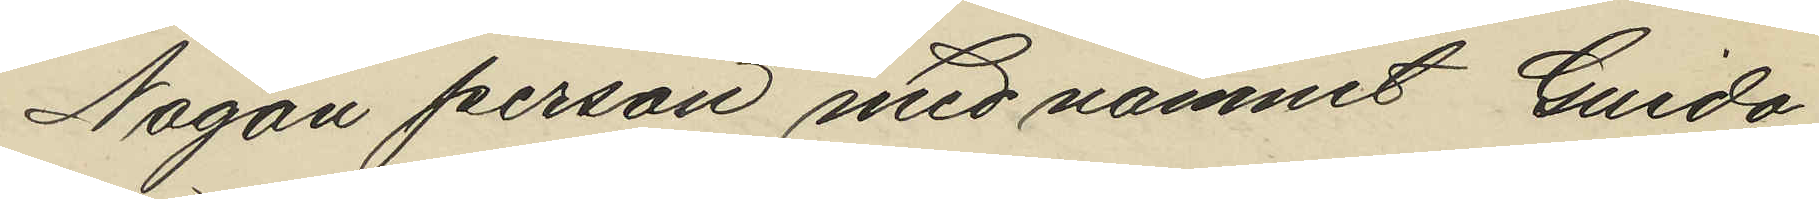Någon person med namnet Guida
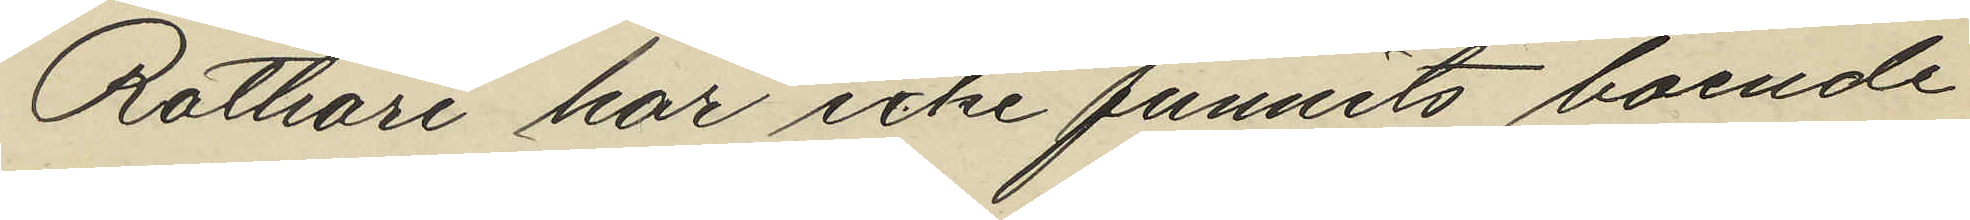Rothare har icke funnits boende
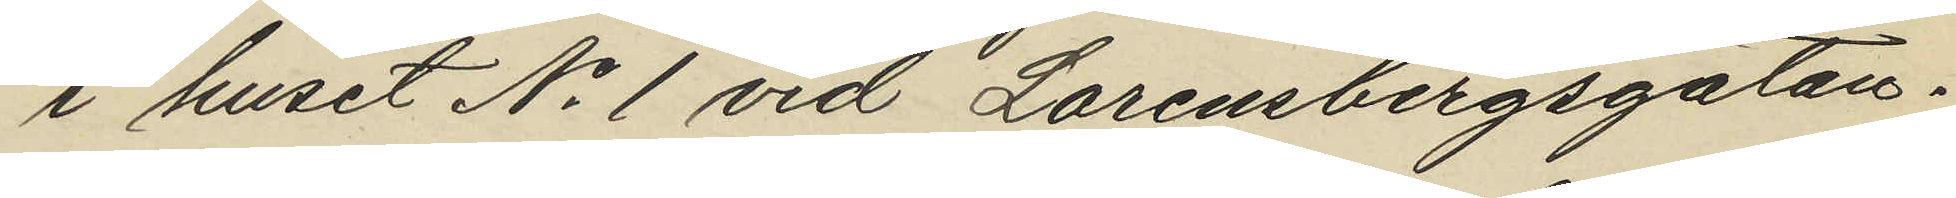i huset No 1 vid Lorensbergsgatan.
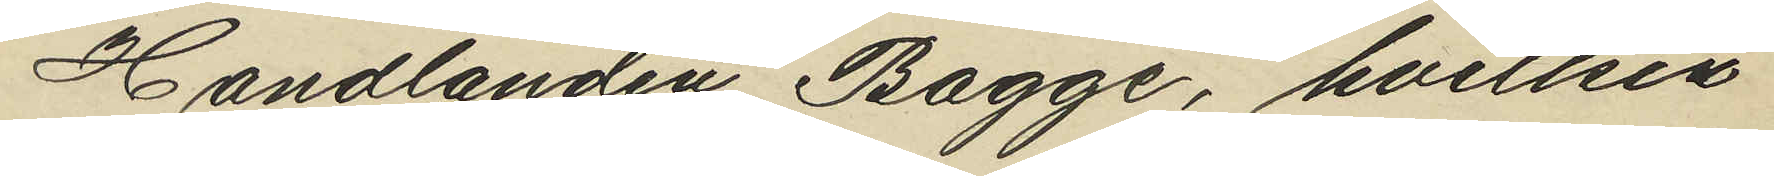Handlanden Bagge, hvilken
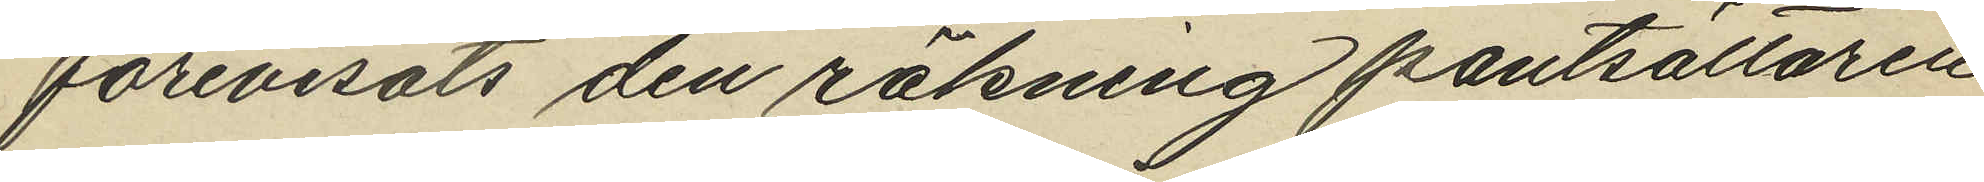förevisats den räkning pantsättaren
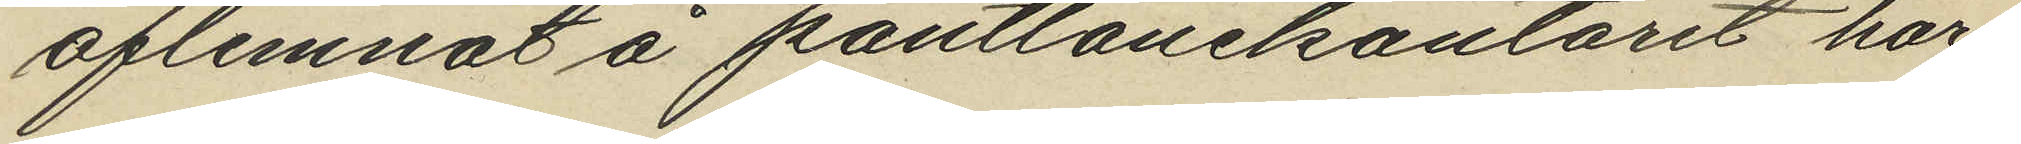aflemnat å pantlånekontoret har
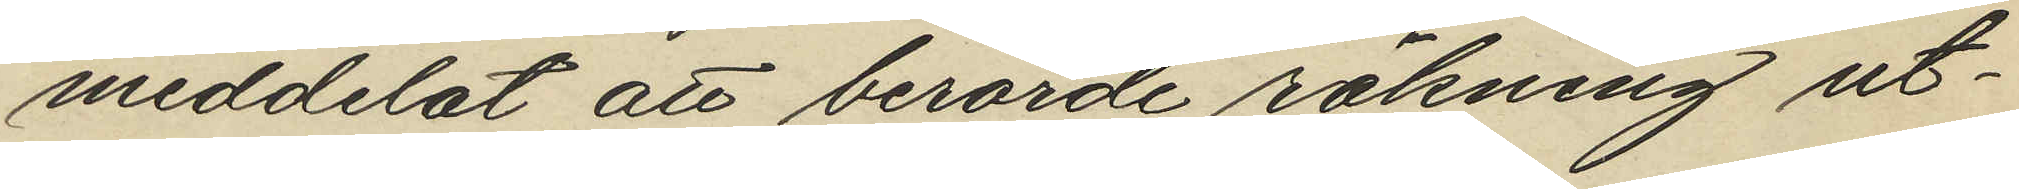meddelat att berörde räkning ut¬
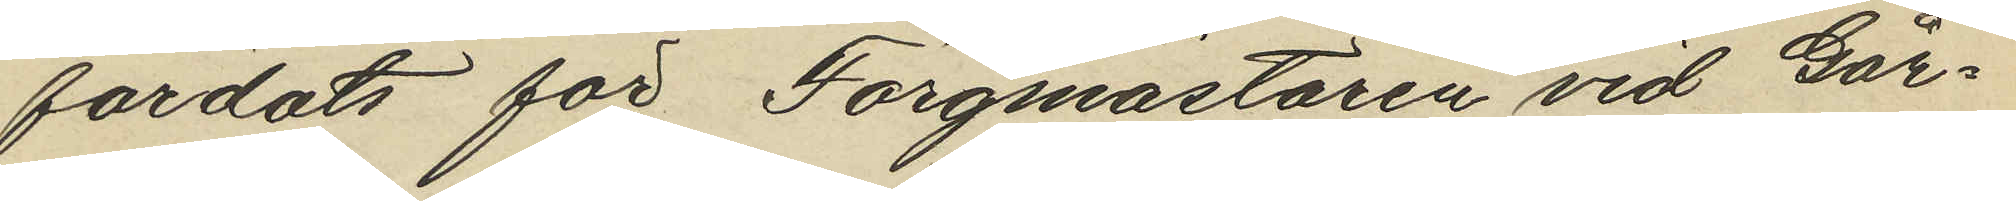färdats för färgmästaren vid Går¬
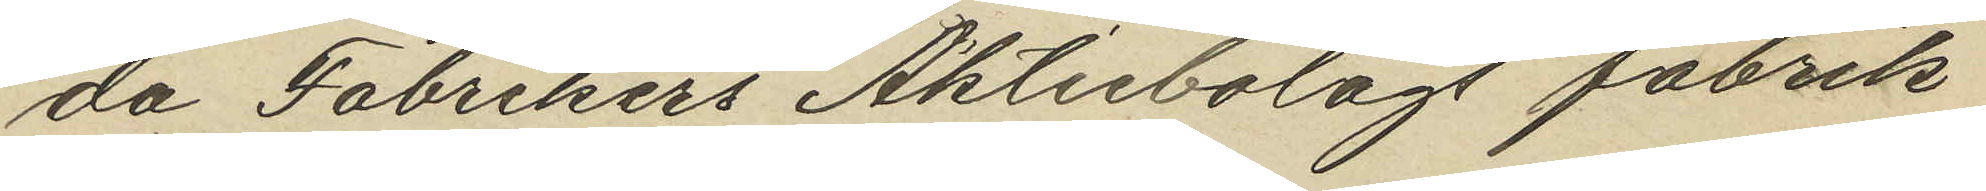da Fabrikers Aktiebolags fabrik
